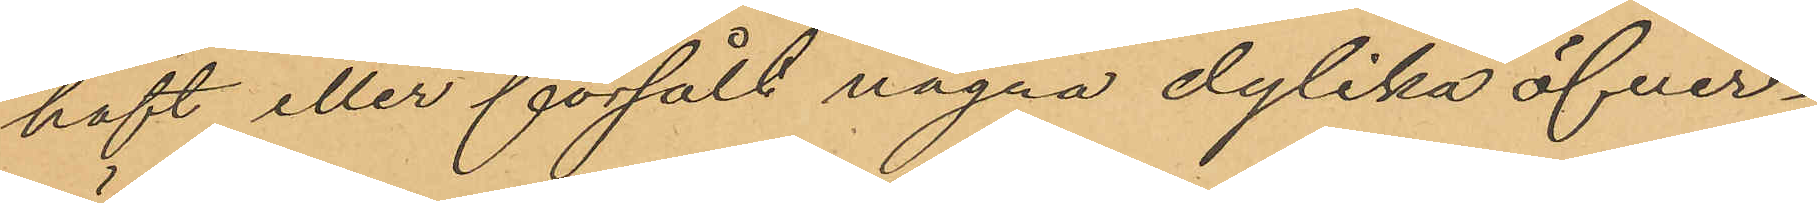haft eller försålt några dylika öfver¬
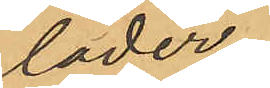läder.
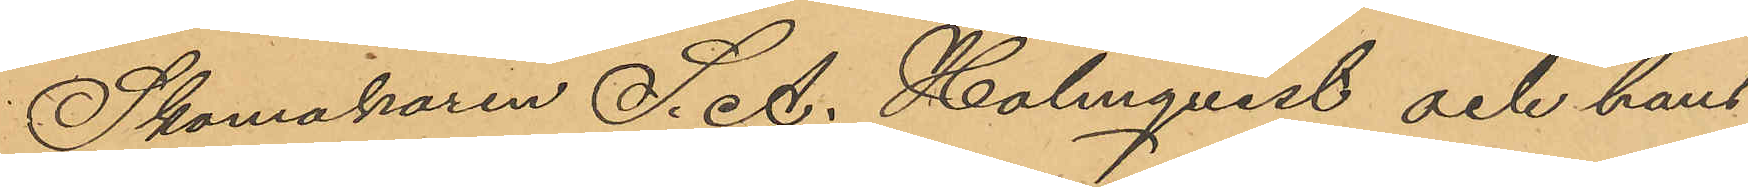Skomakaren S. A. Holmqvist och hans
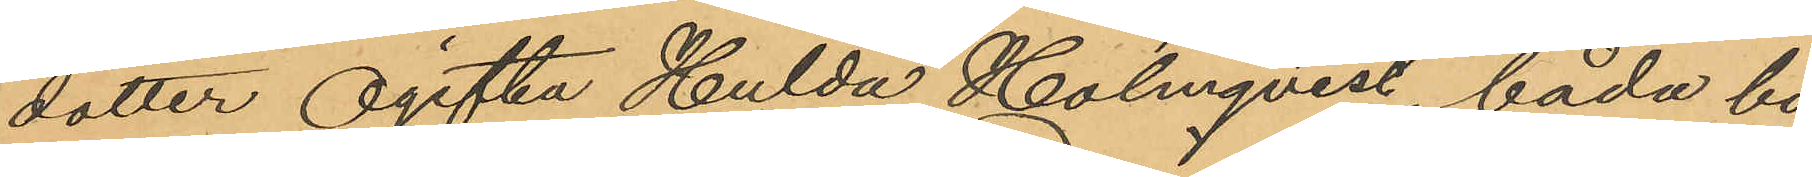dotter Ogifta Hulda Holmqvist, båda bo¬
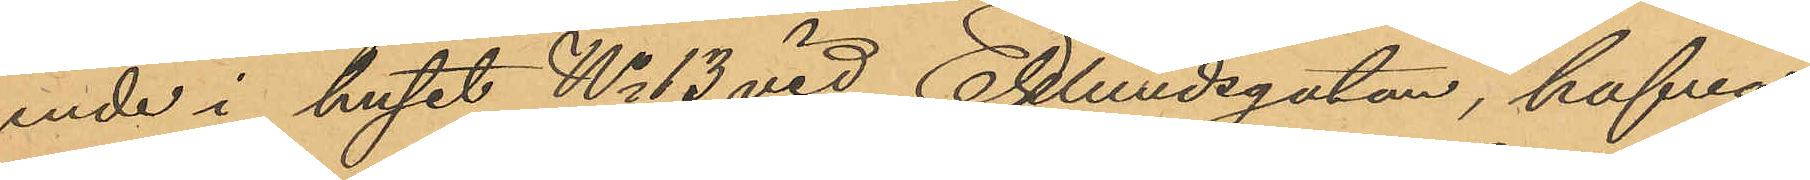ende i huset No 13 vid Eklundsgatan, hafva
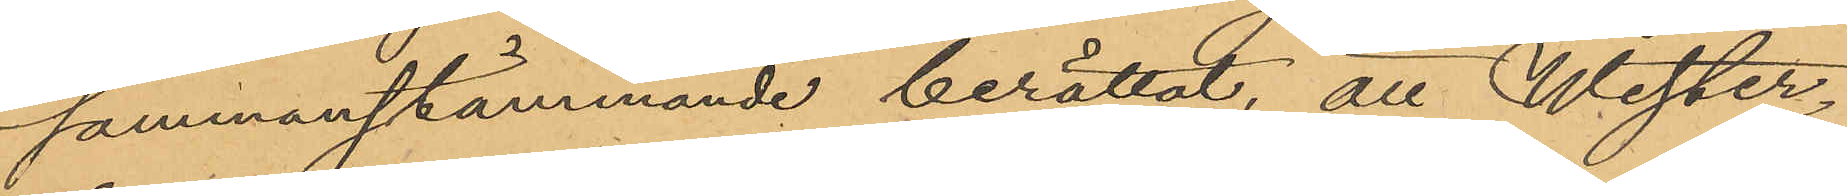sammanstämmande berättat, att Wester¬
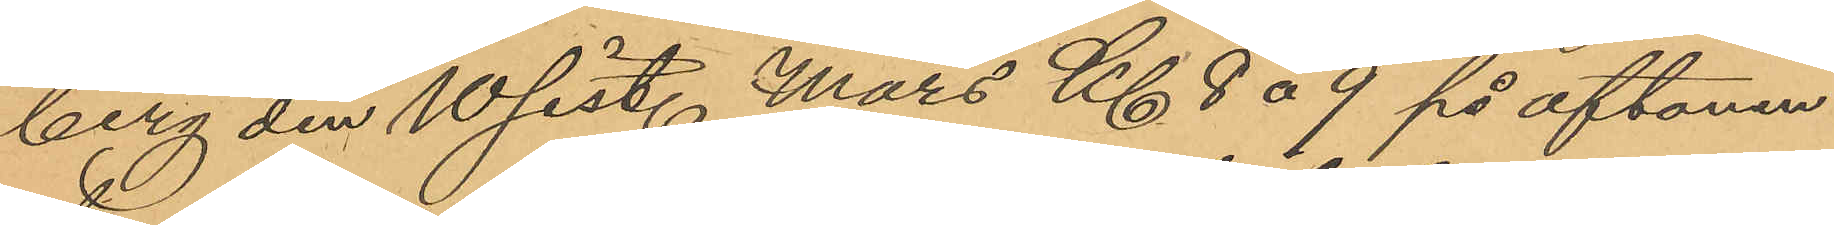berg den 10 sist. Mars Kl 8 á 9 på aftonen
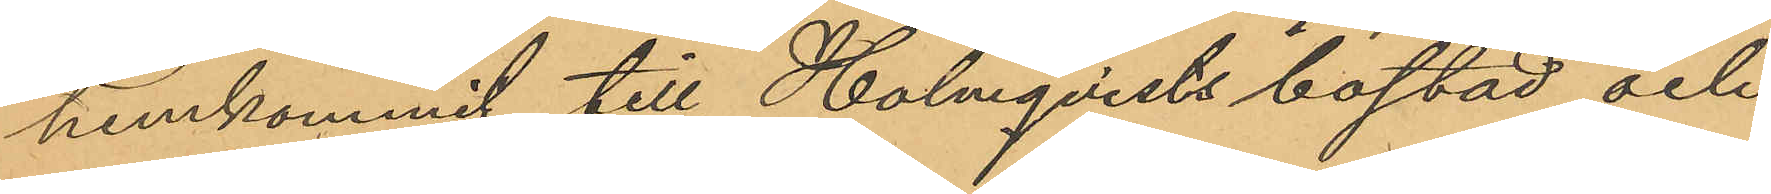hemkommit till Holmqvists bostad och
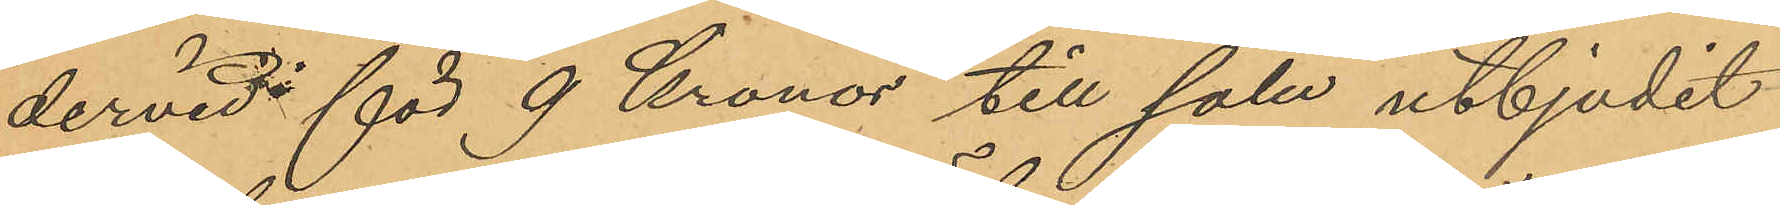dervid för 9 Kronor till salu utbjudit
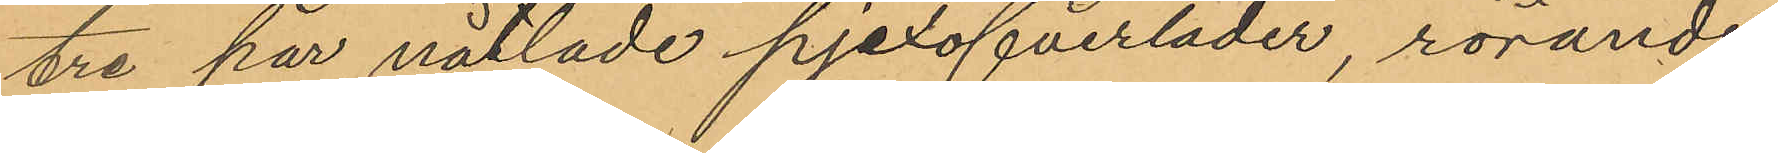tre par nåtlade pjexöfverläder, rörande
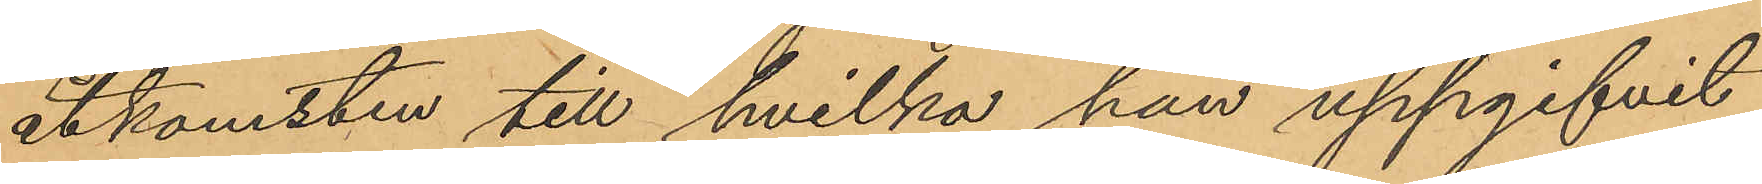åtkomsten till hvilka han uppgifvit
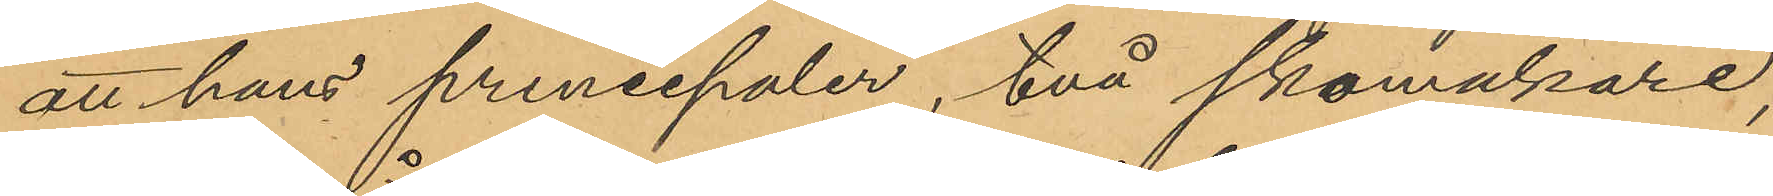att hans princepaler, två skomakare,
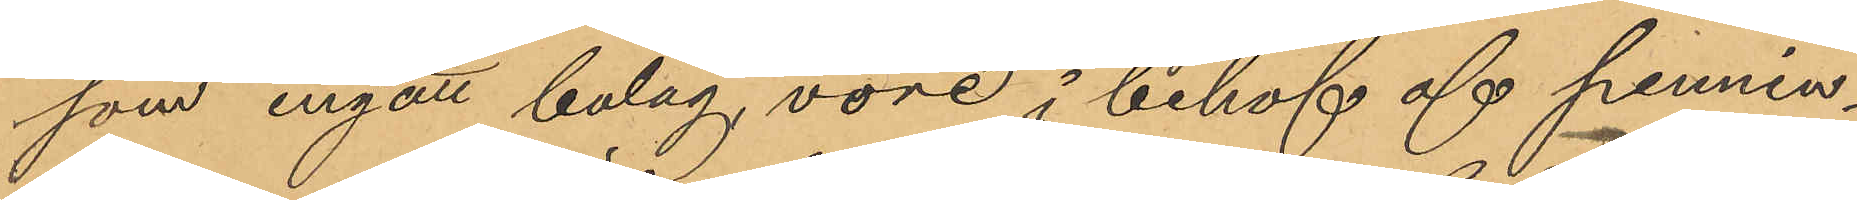som ingått bolag, vore i behof af pennin¬
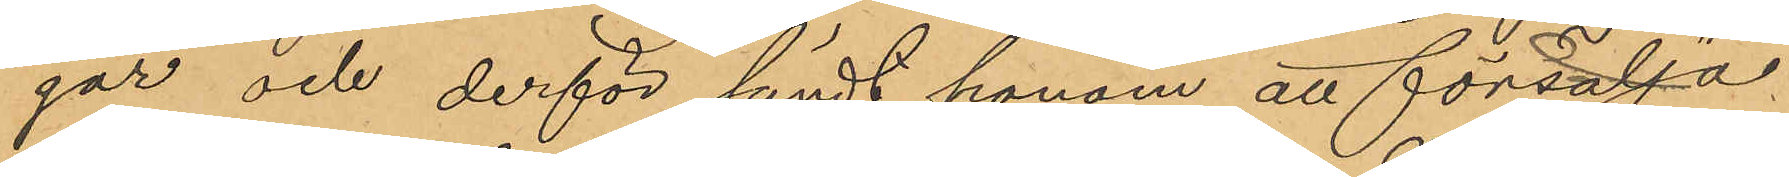gar och derför sändt honom att försälja
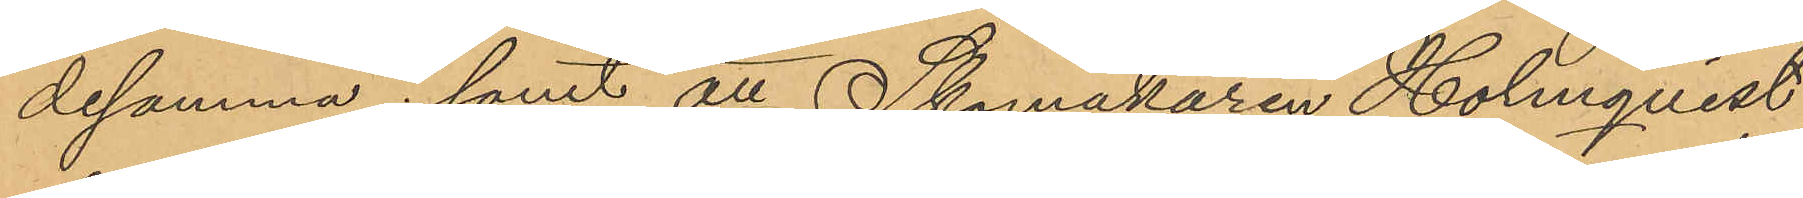desamma; samt att Skomakaren Holmqvist
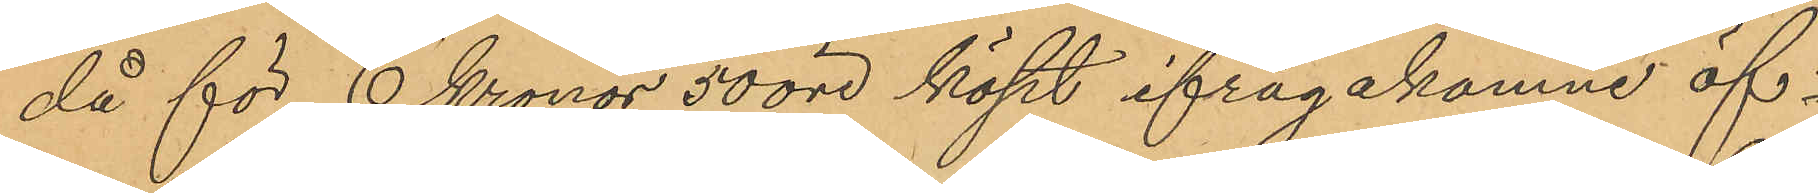då för 6 Kronor 50 öre köpt ifrågakomne öf¬
